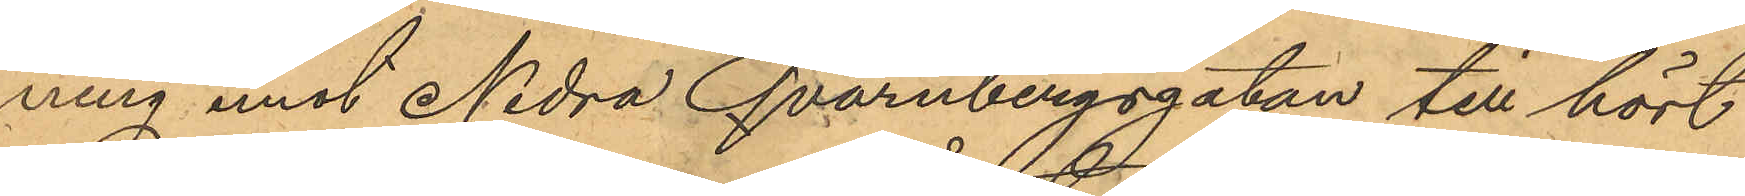ning emot Nedra Qvarnbergsgatan till hört
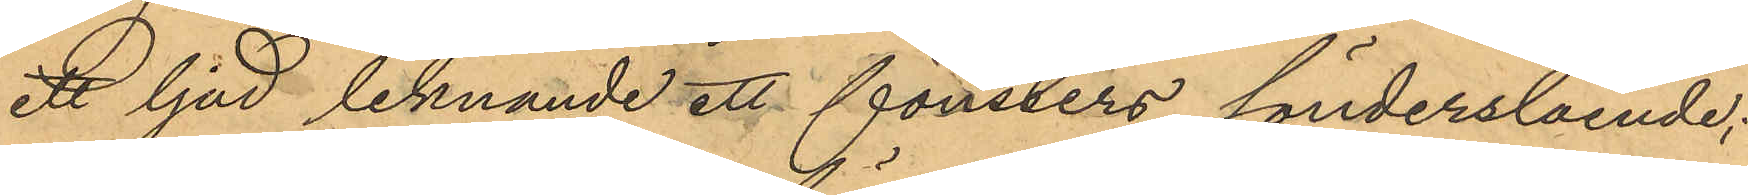ett ljud liknande ett fönsters sönderslående;
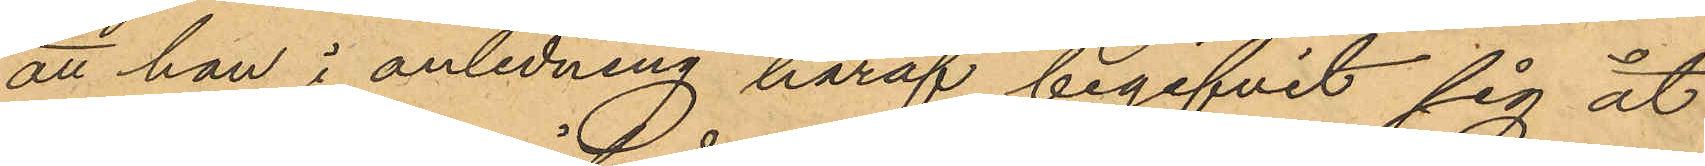att han i anledning häraf begifvit sig åt
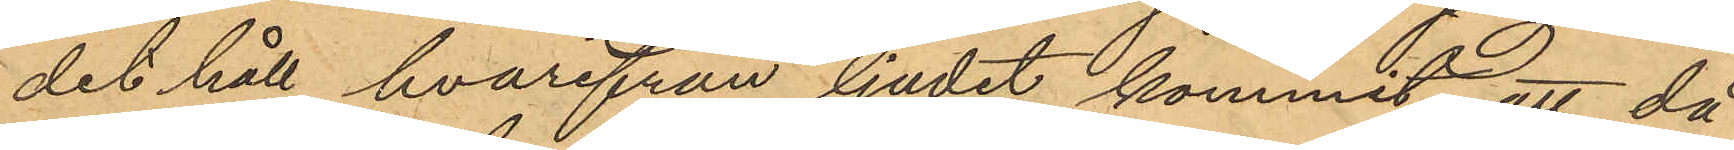det håll hvarifrån ljudit kommit, att då
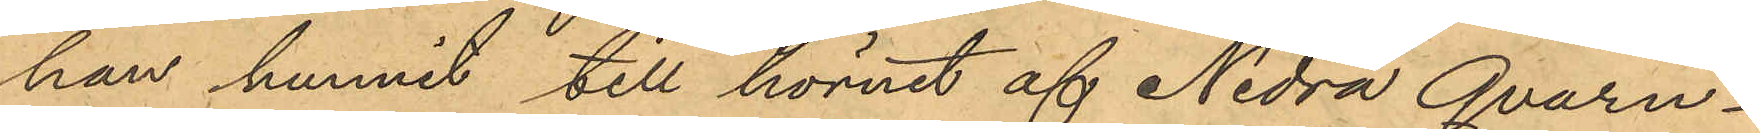han hunnit till hörnet af Nedra Qvarn¬
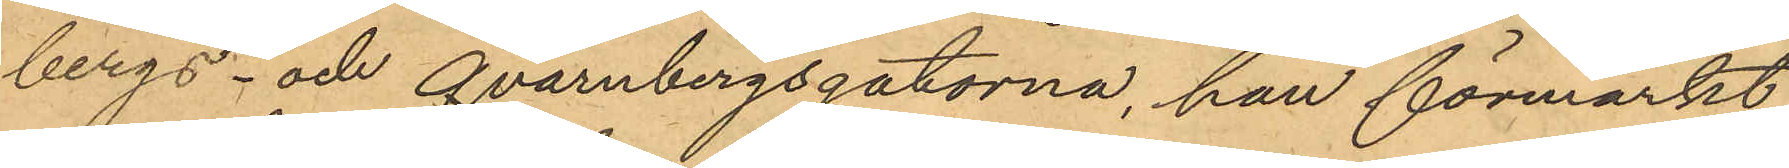bergs- och Qvarnbergsgatorna, han förmärkt
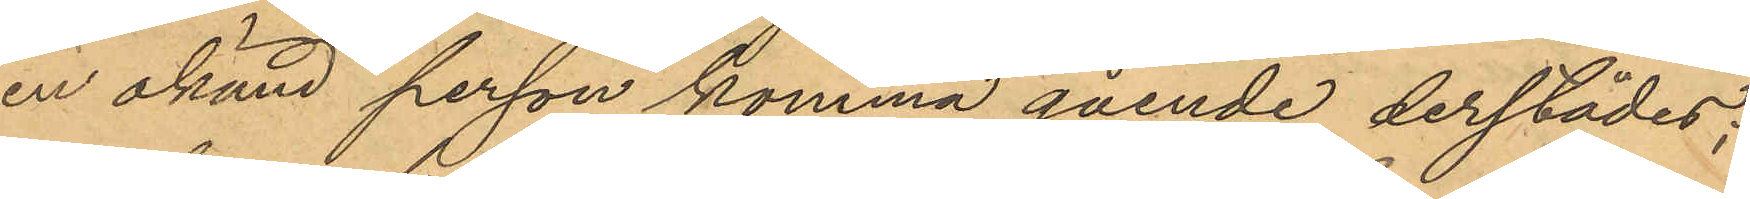en okänd person komma gående derstädes;
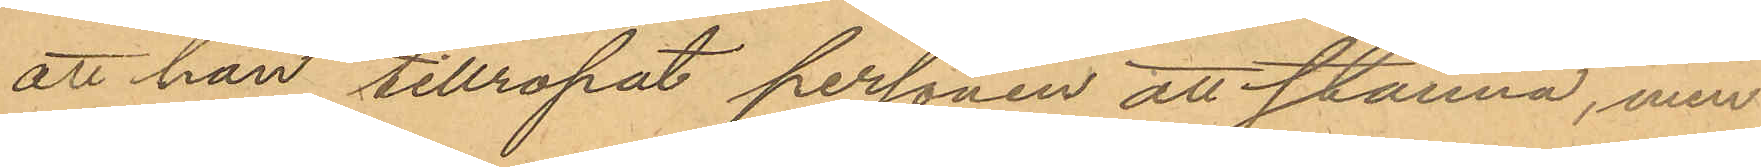att han tillropat personen att stanna, men
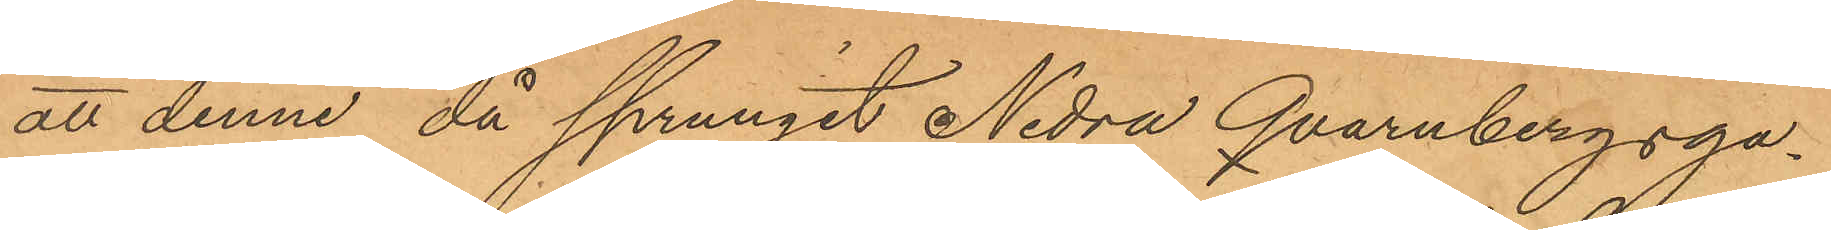att denne, då sprungit Nedra Qvarnbergsga¬
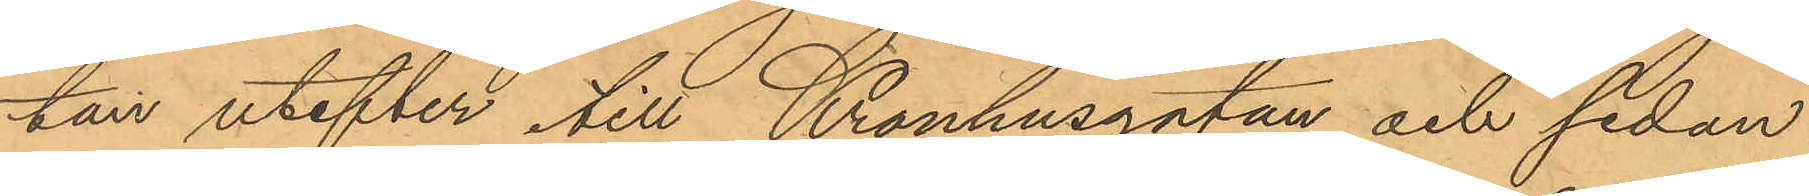tan utefter till Kronhusgatan och sedan
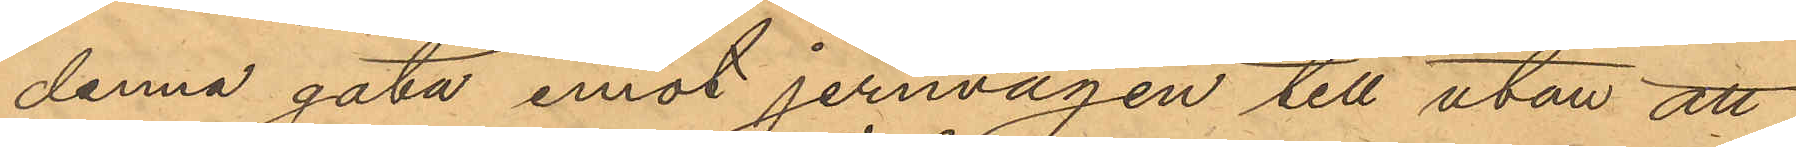denna gata emot jernvägen till utan att
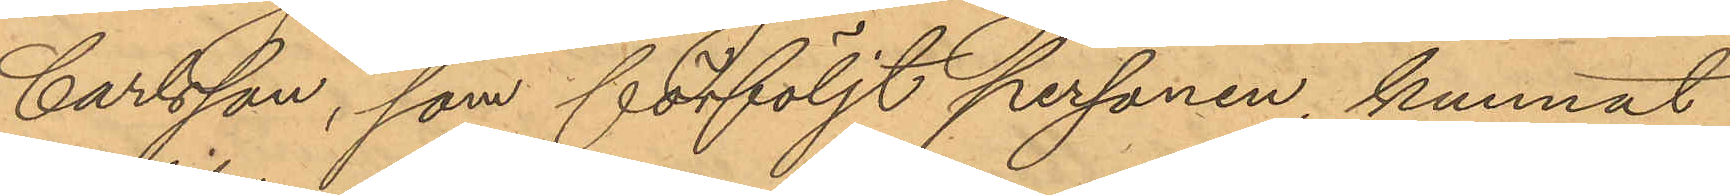Carlsson, som förföljt personen, kunnat
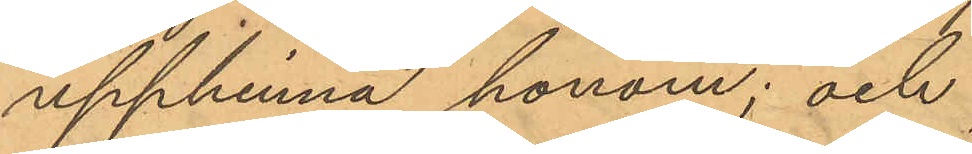upphinna honom; och
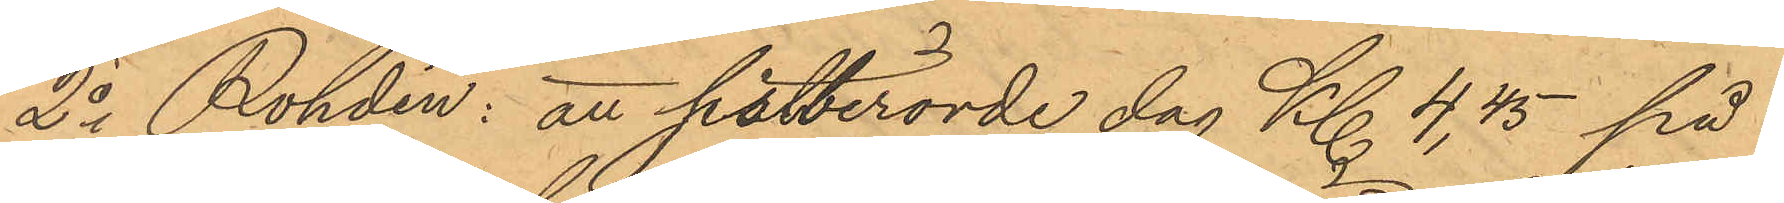2o Rohdin: att sistberörde dag Kl. 4,45 på
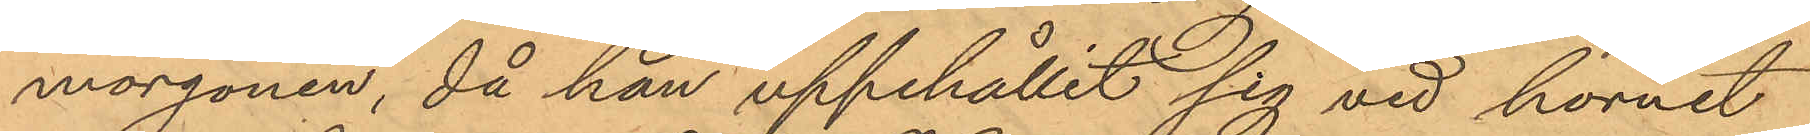morgonen, då han uppehållit sig vid hörnet
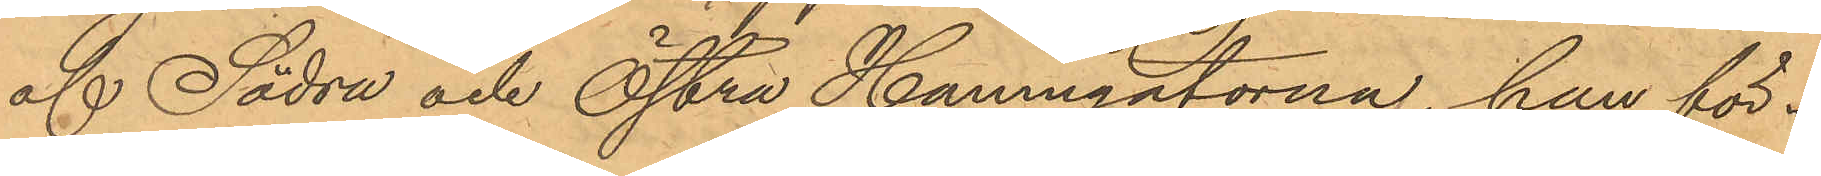af Södra och Östra Hamngatorna, han för¬
